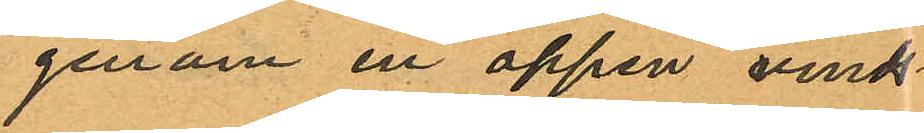genom en öppen vinds¬
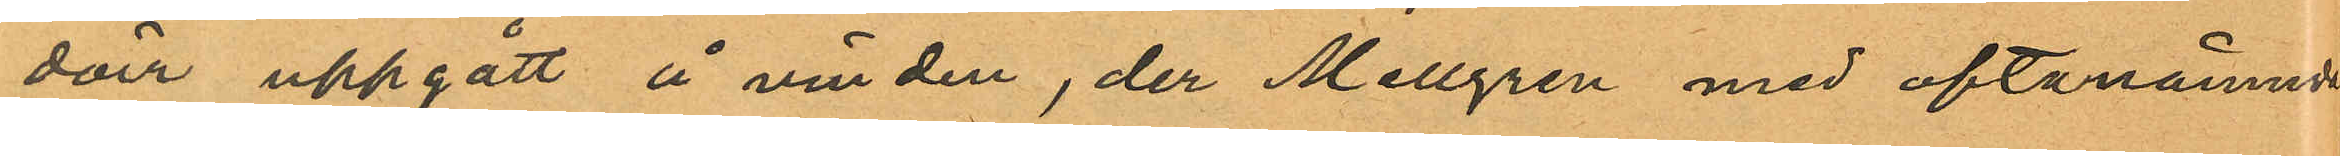dörr uppgått å vinden, der Mellgren med oftanämnde
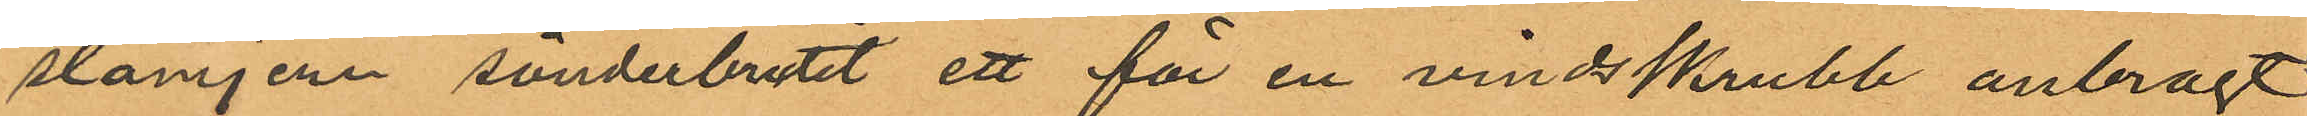stämjern sönderbrutit ett för en vindsskrubb anbragt
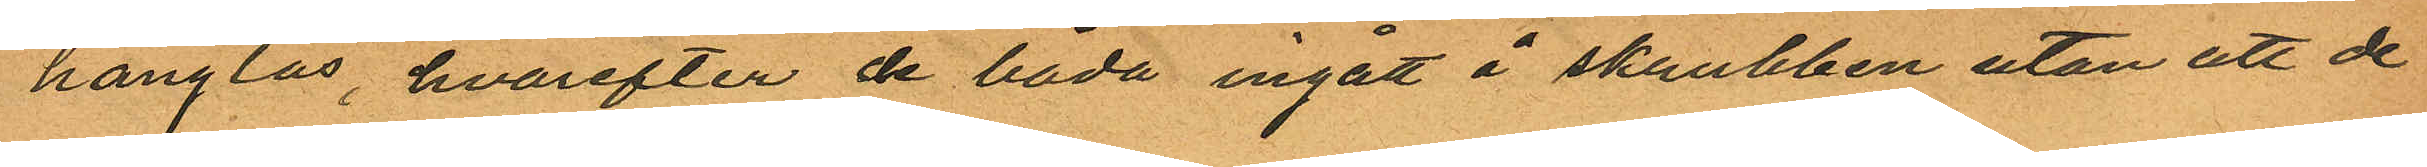hänglås, hvarefter de båda ingått å skrubben utan att de
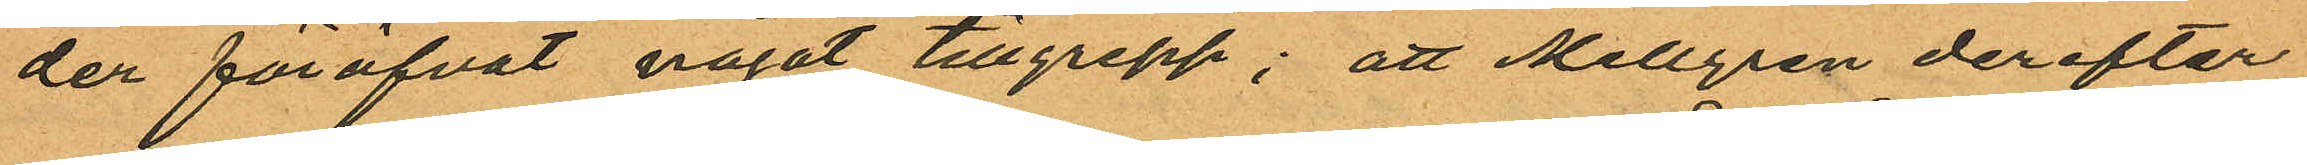der föröfvat något tillgrepp; att Mellgren derefter
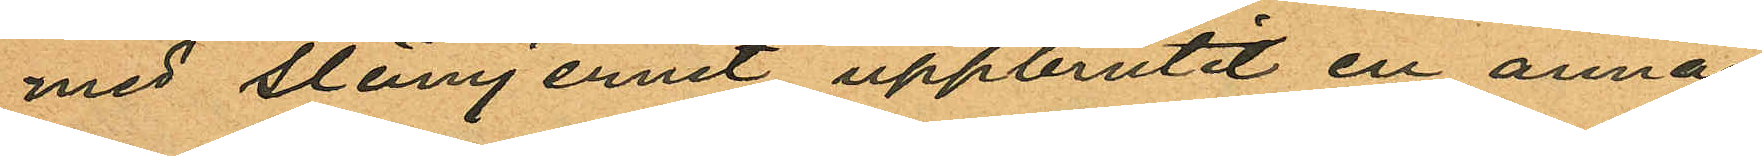med slämjernet uppbrutit en annan
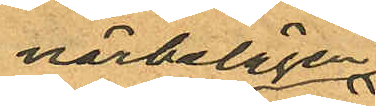närbelägen
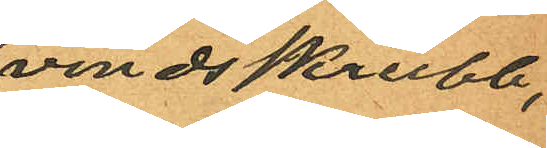vindsskrubb,
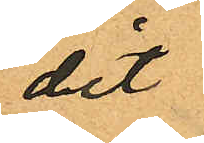dit
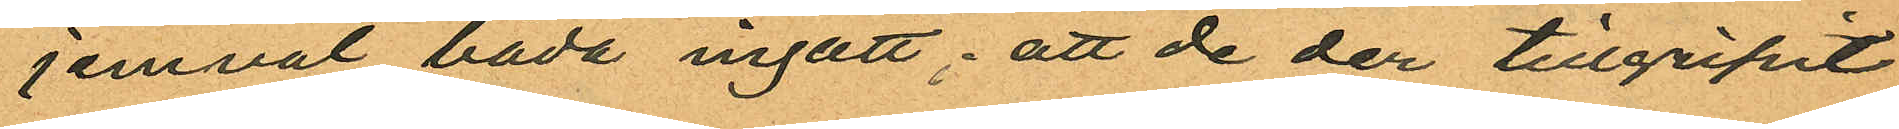jemväl båda ingått; att de der tillgripit
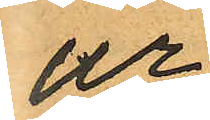ur
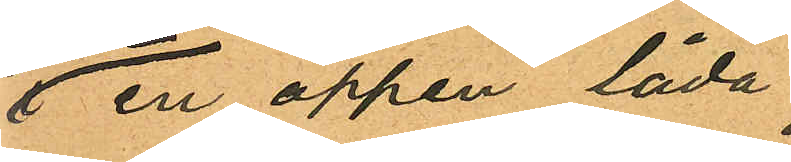en öppen låda
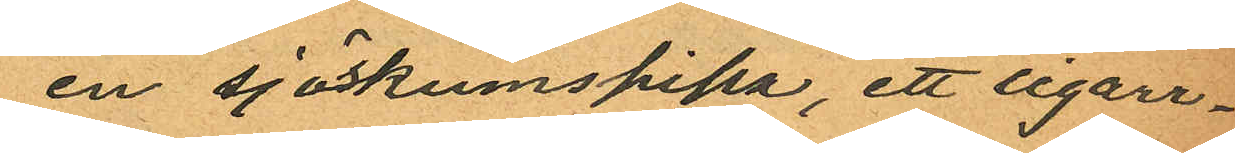en sjöskumspipa, ett cigarr¬
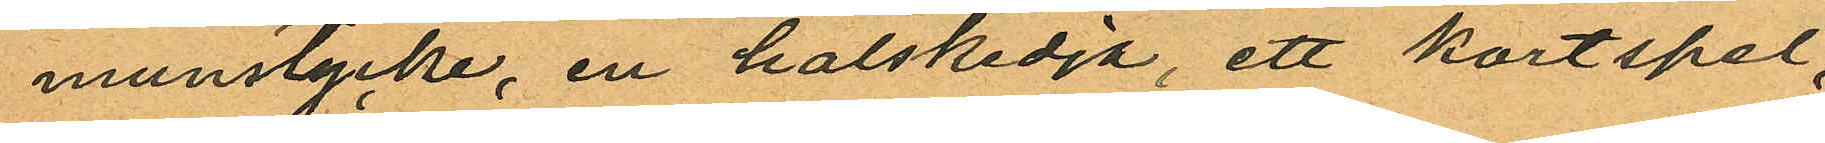munstycke, en halskedja, ett kortspel,
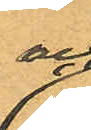och
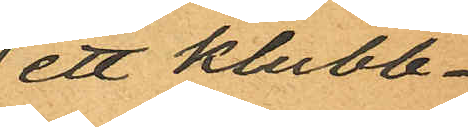ett klubb¬
